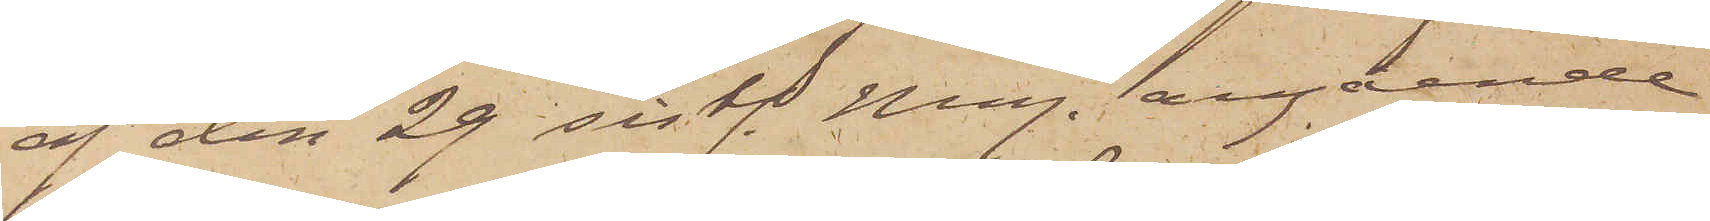af den 29 sistl. Maj. angående
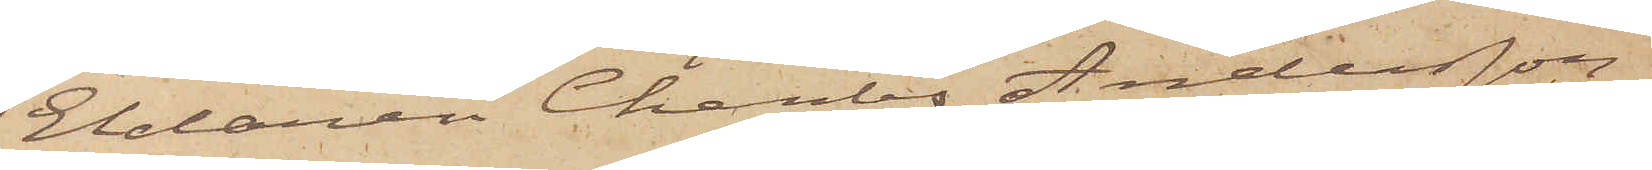Eldaren Charles Andersson,
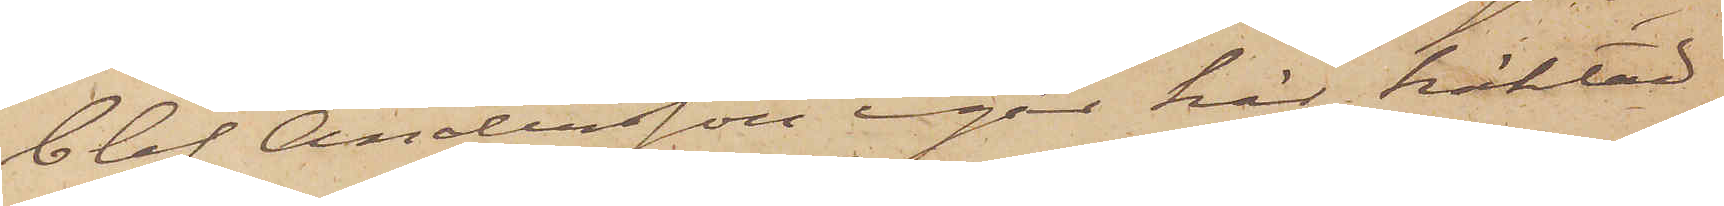blef Andersson igår här häktad,
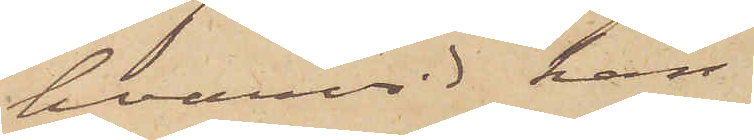hvarvid han
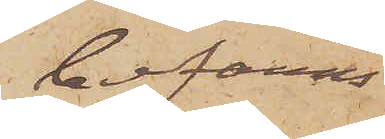befanns
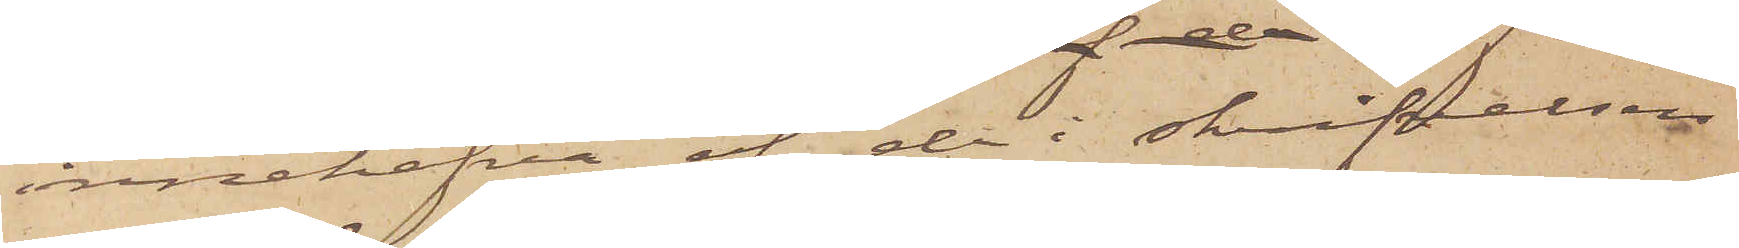innehafva af de i skrifvelsen
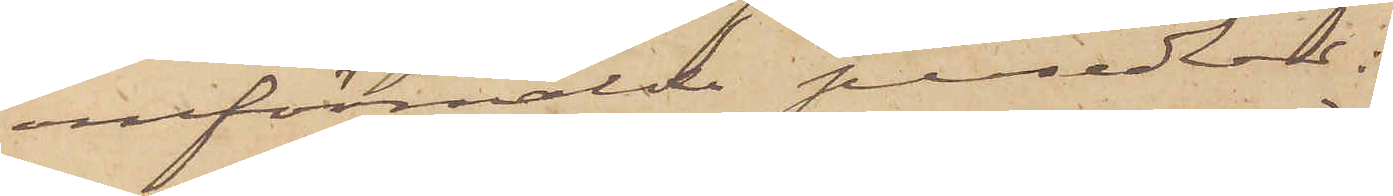omförmälde persedlar:
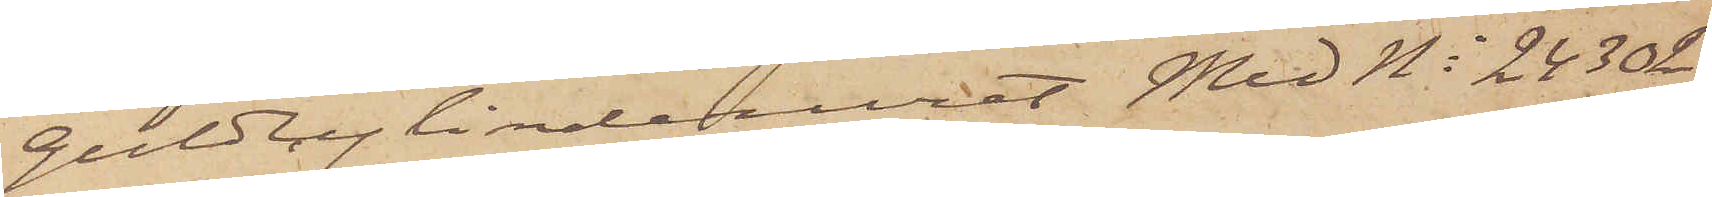Guldcylinderuret med No 24302,
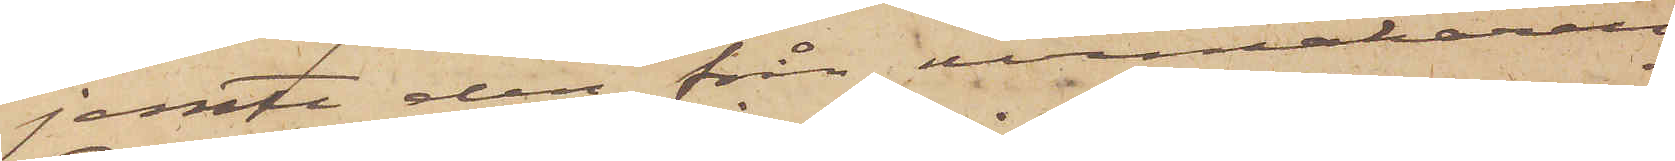jemte den från urmakaren
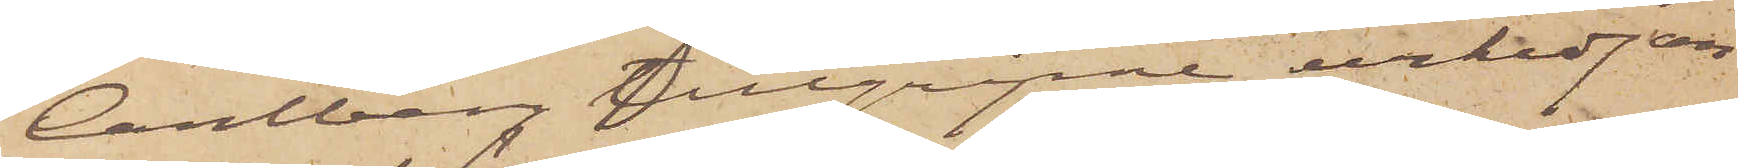Carlberg tillgripne urkedjan
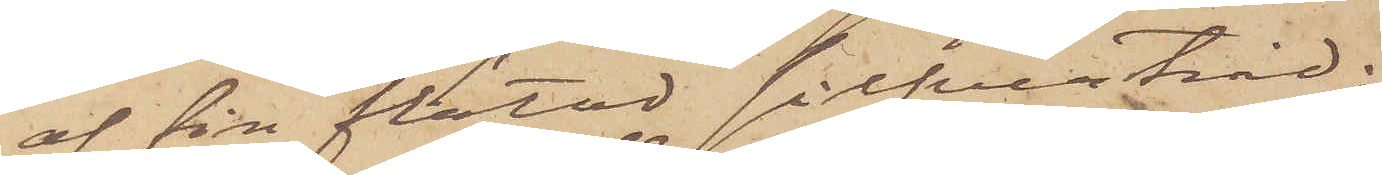af fin flätad silfvertråd;
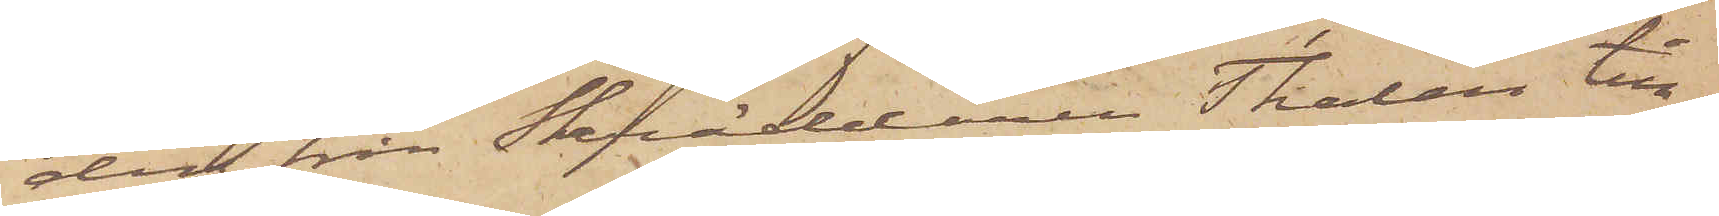den från Skräddaren Thalén till¬
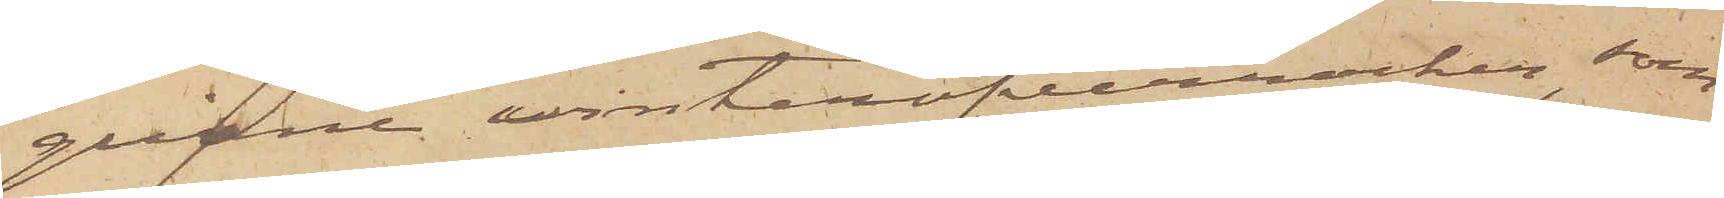gripne vinteröfverrocken, som
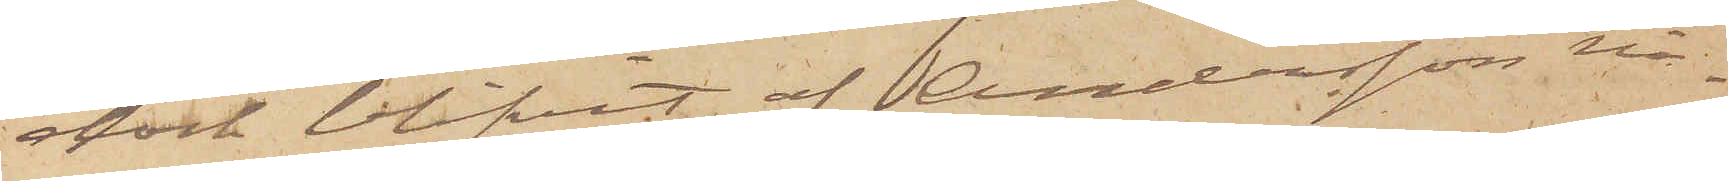dock blifvit af Andersson nå¬
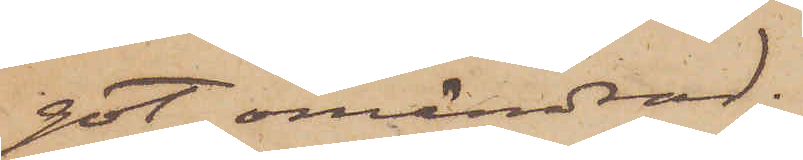got omändrad;
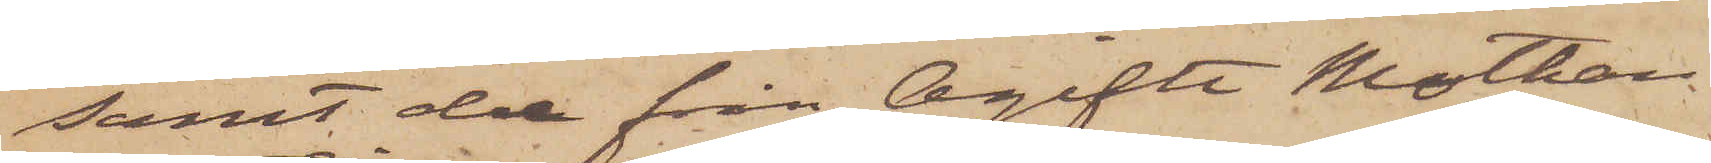samt de från Ogifta Mothan¬
